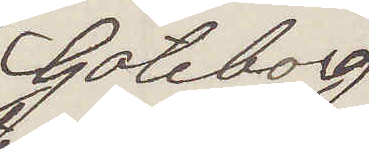Göteborg
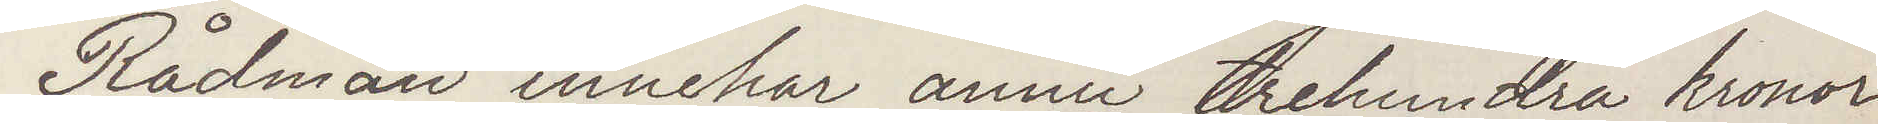Rådman innehar ännu trehundra kronor.
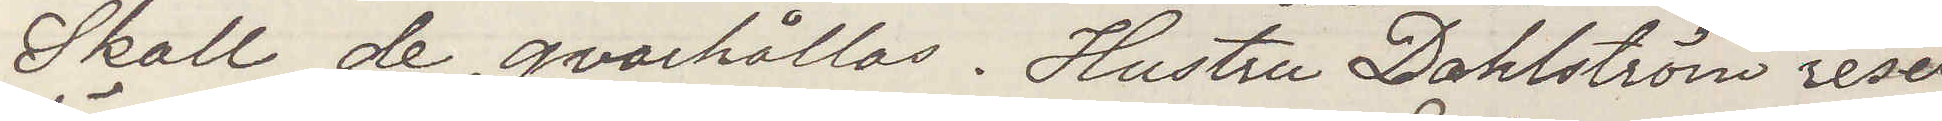Skall de qvarhållas. Hustru Dahlström reser
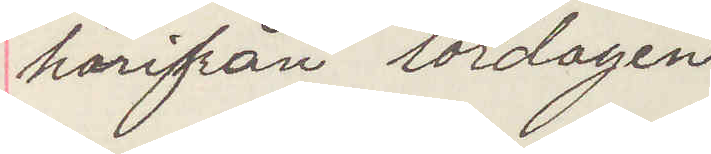härifrån lördagen
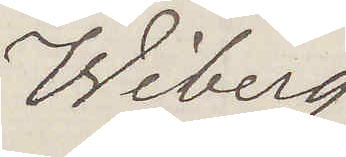Wiberg
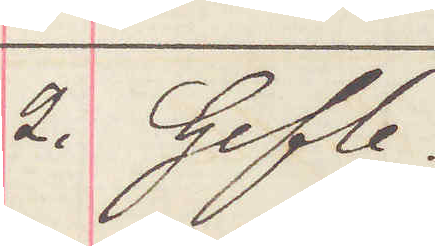2. Gefle.
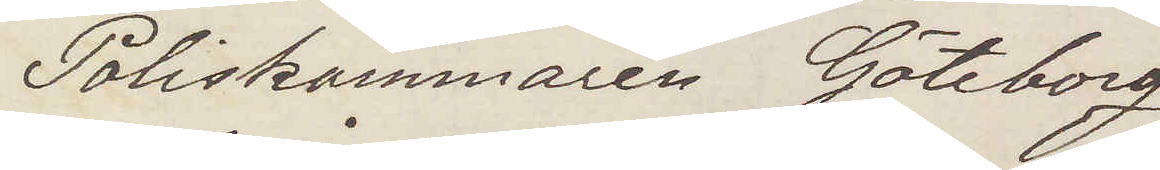Poliskammaren Göteborg
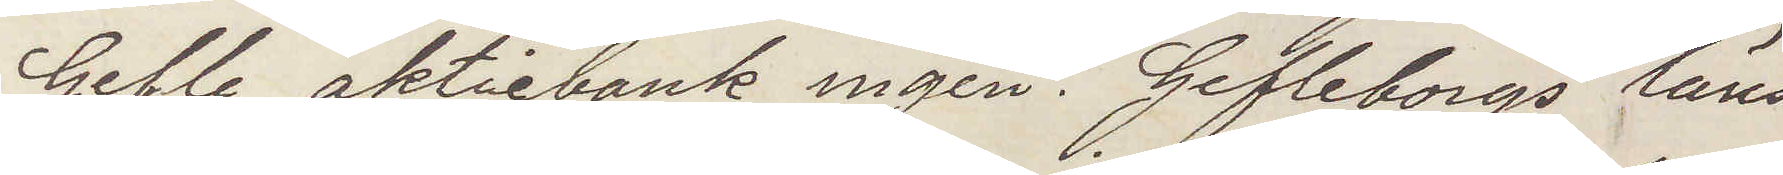Gefle aktiebank ingen. Gefleborgs läns
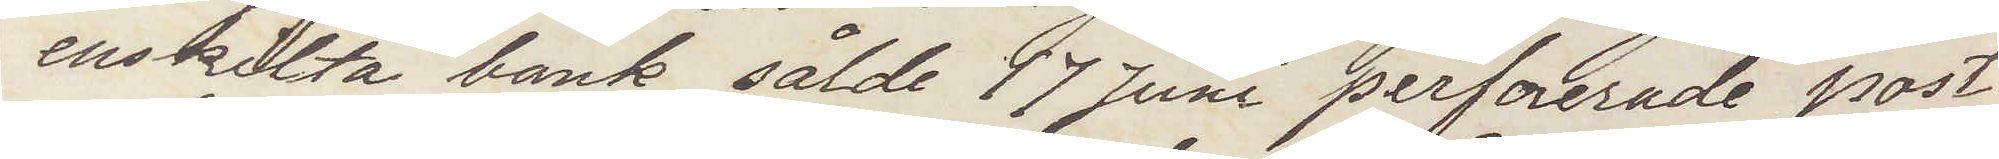enskilda bank sålde 17 Juni perforerade post¬
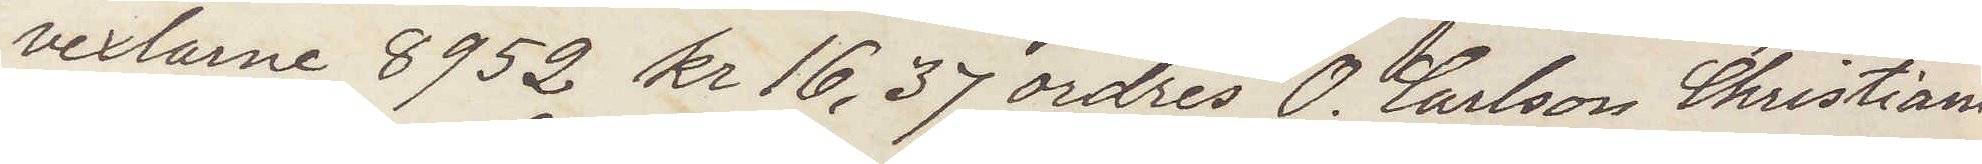vexlarne 8952 kr 16,37 ordres O. Carlson Christiania
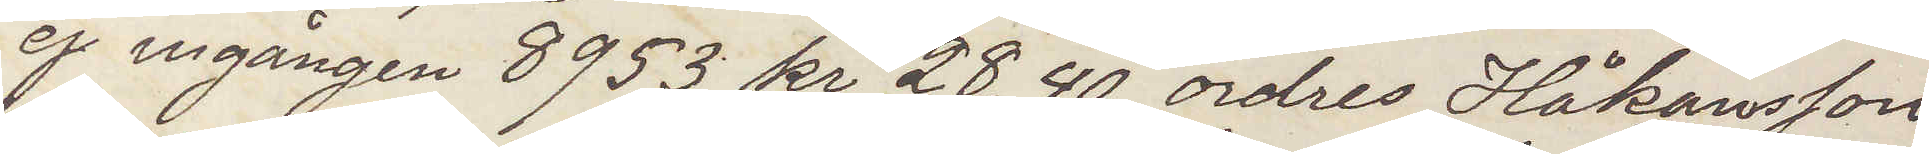ej ingången 8953 kr 28,40 ordres Håkansson
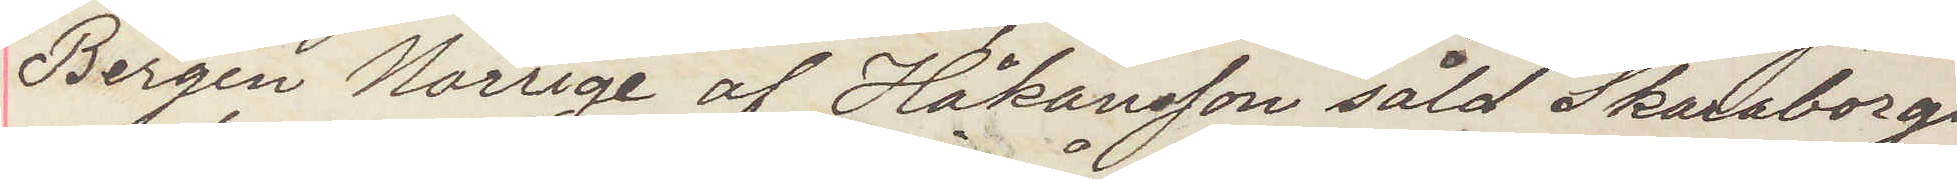Bergen Norrige af Håkansson såld Skaraborgs
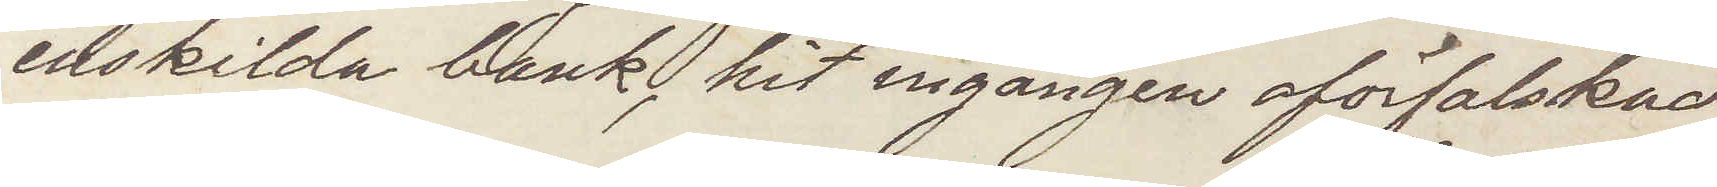enskilda bank, hit ingången oförfalskad
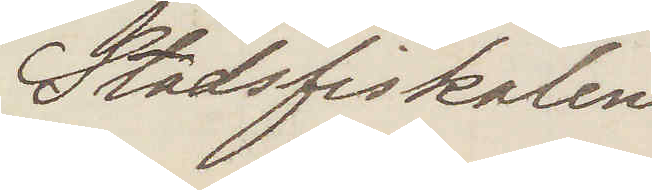Stadsfiskalen
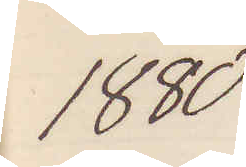1880
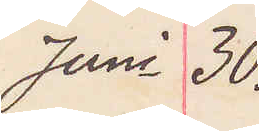Juni 30.
